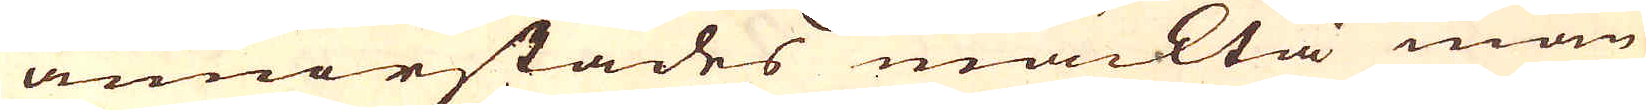annorstädes mäckta mån-
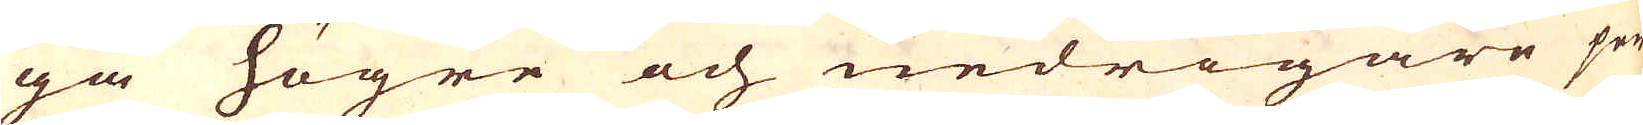ga högre och nedrigare per-
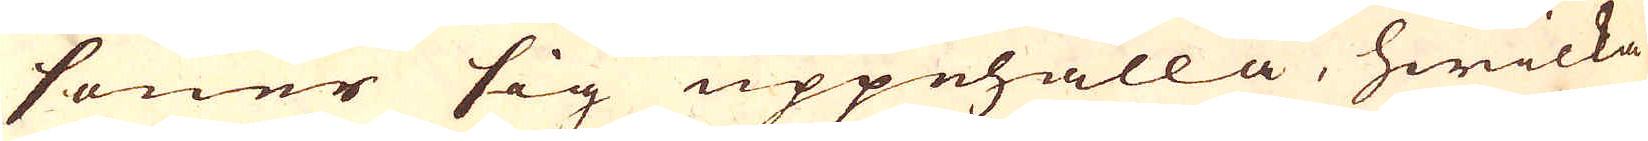soner sig uppehålla, hwilka
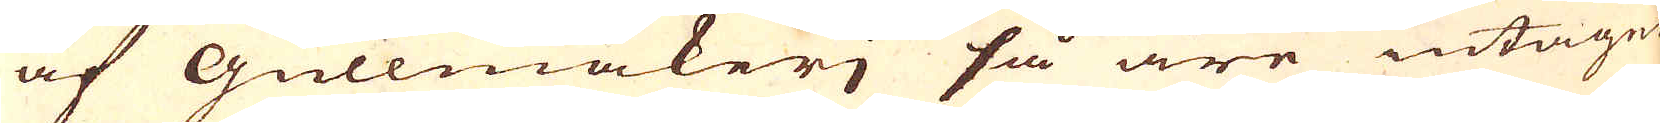af Gullmakerj så äre intagne
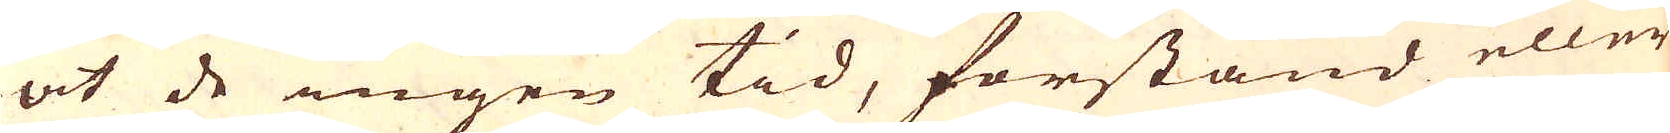at de ingen tid, förstånd eller
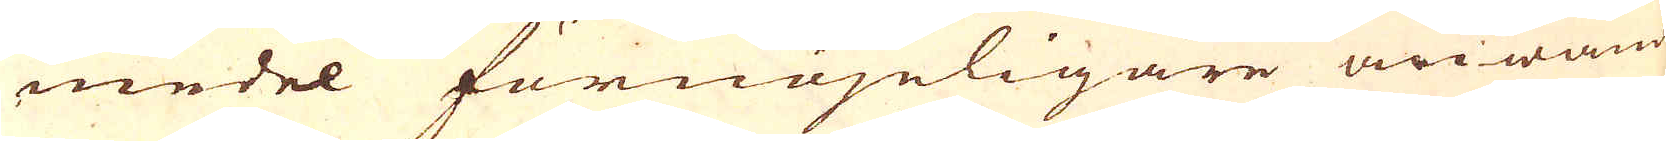medel förnöjeligare anwända
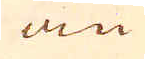än
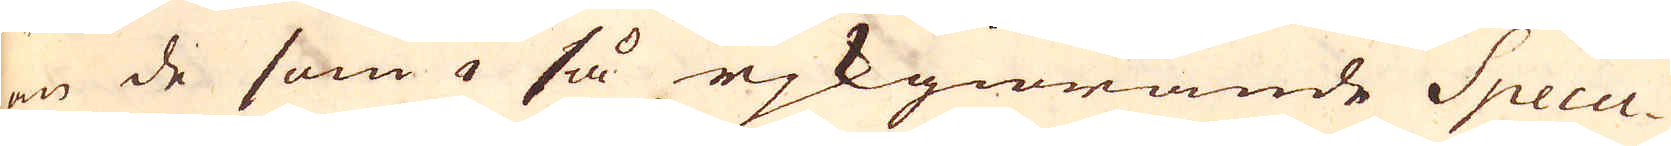än de som i så rjkgiörande Specu-
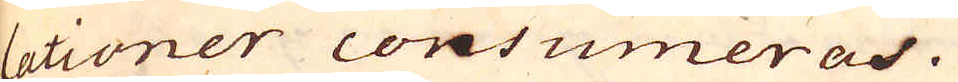lationer consumeras.
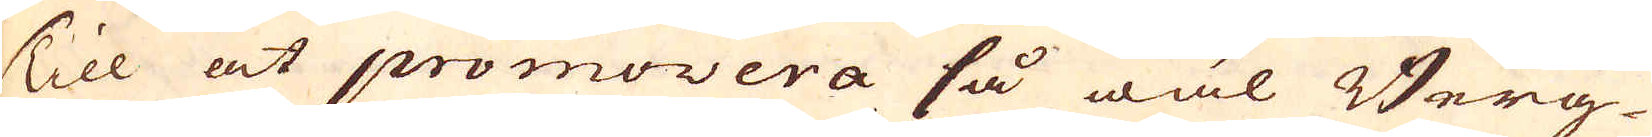Till at promovera så wäl Berg-
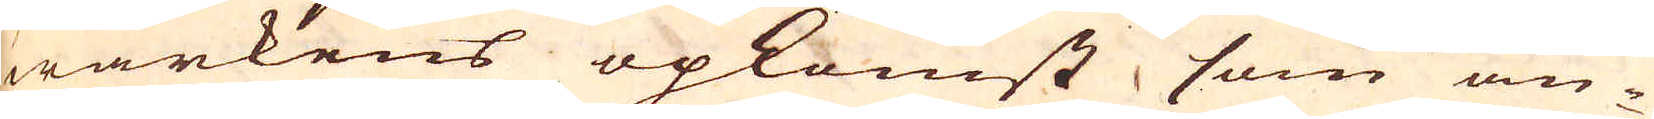wärkens opkomst som an-
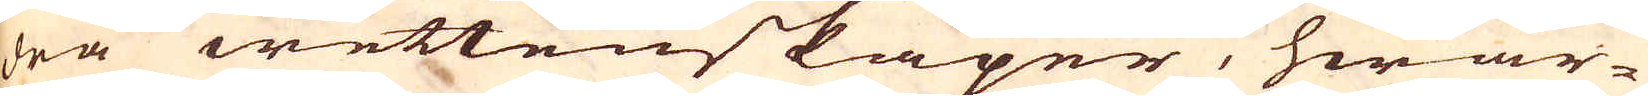dra wettenskaper, hwar-
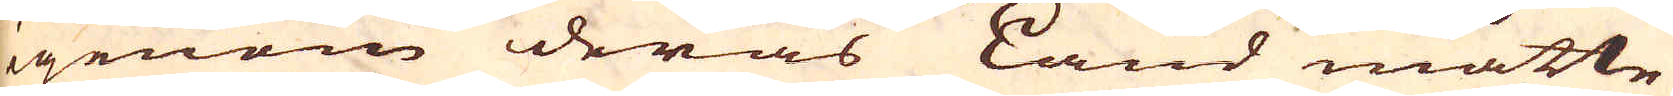igenom deras Land måtte
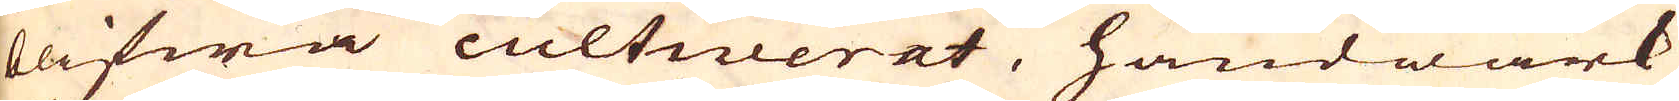blifwa cultiverat, handwärk
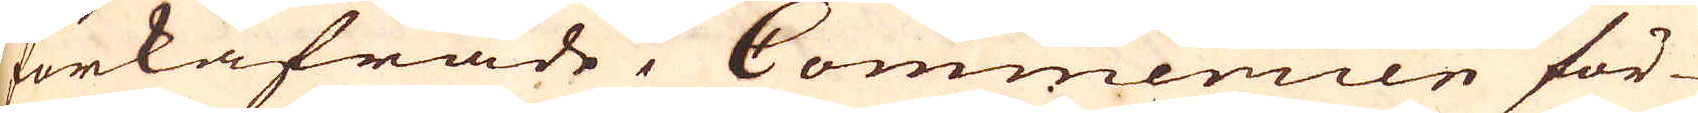forkåfrade, Commercien för-
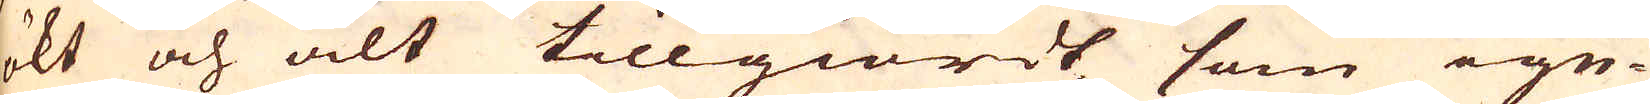ökt och alt tillgiordt som ige-
